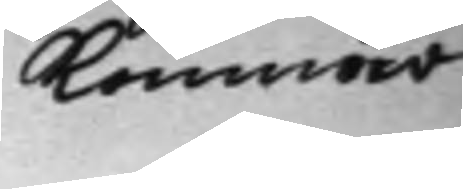 kommer
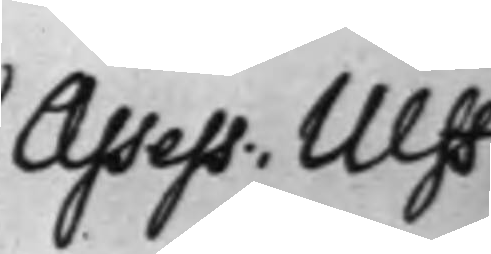Asses: Ulff
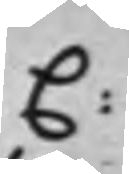C:
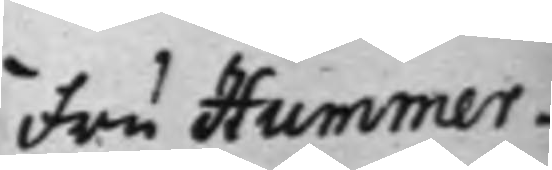Fru Hummer¬
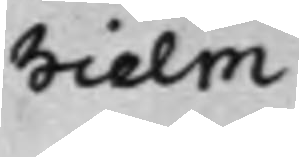hielm
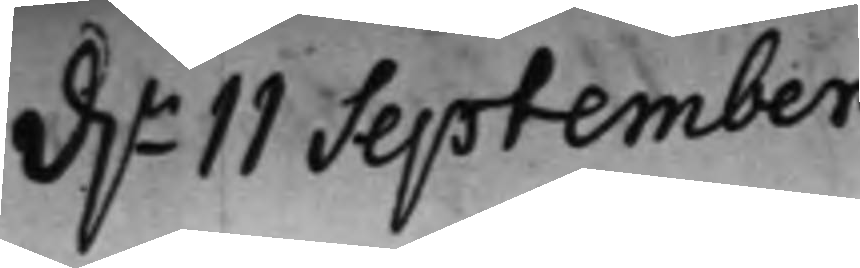d.n 11 September
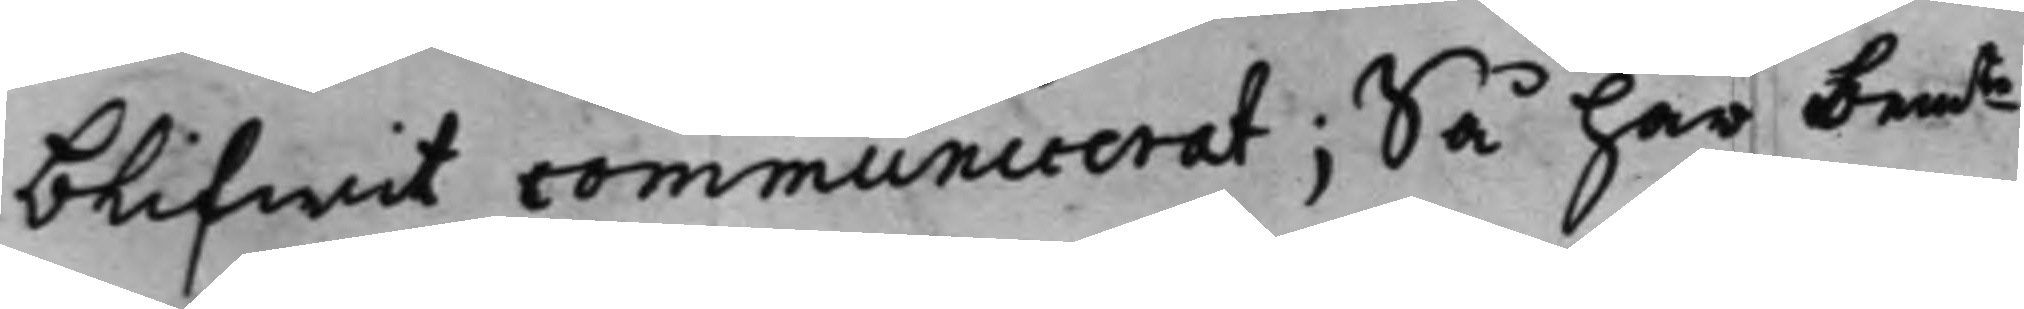blifwit communicerat; Så har bemte
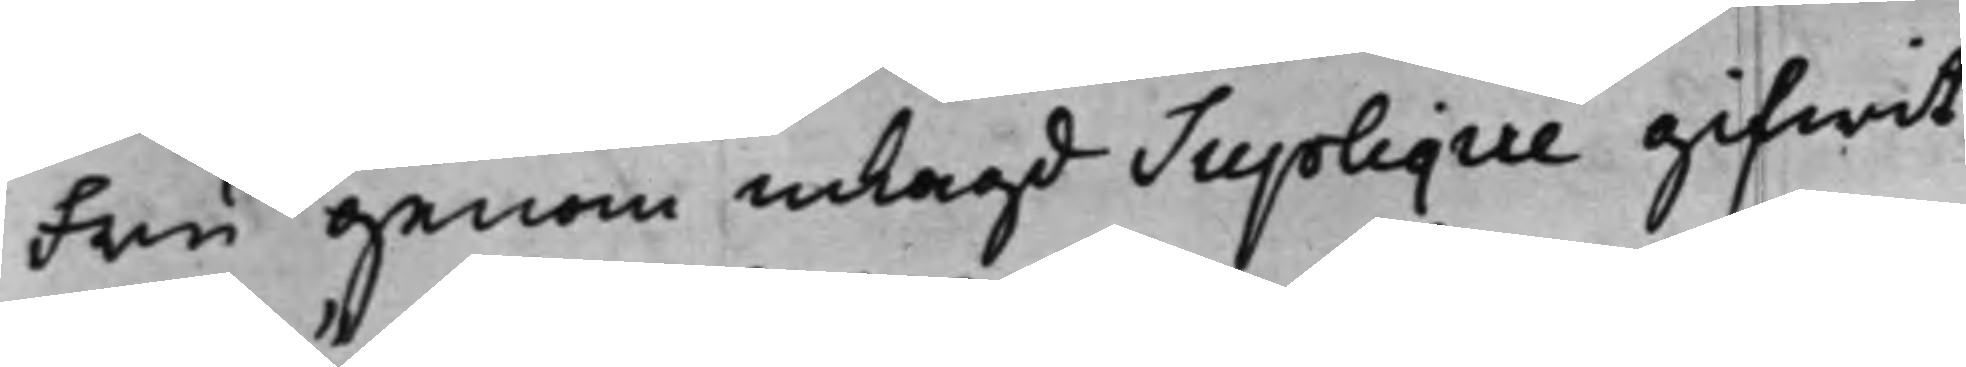Fru genom inlagd Supplique gifwit
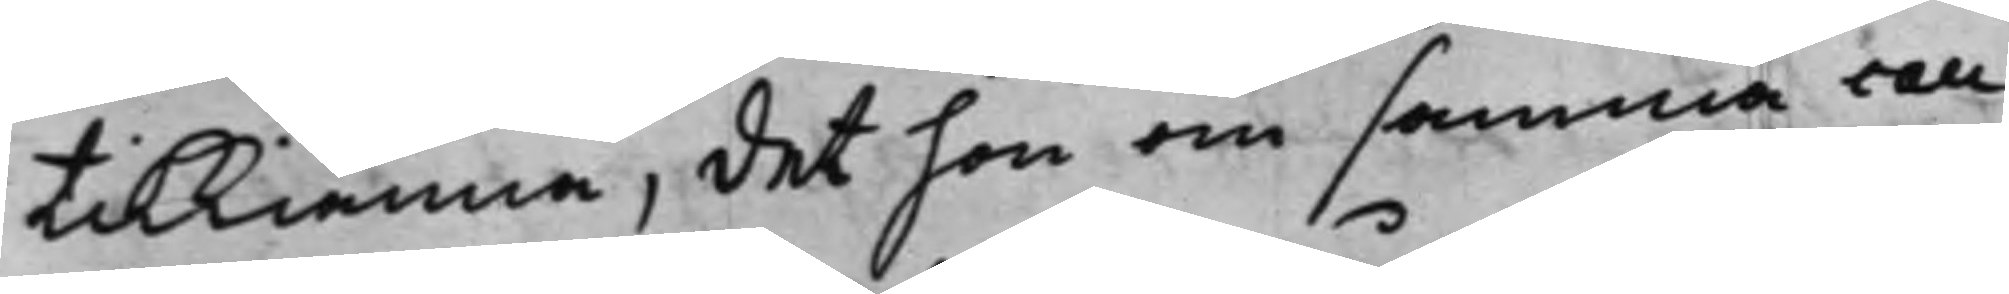tilkiänna, det hon om samma cau¬
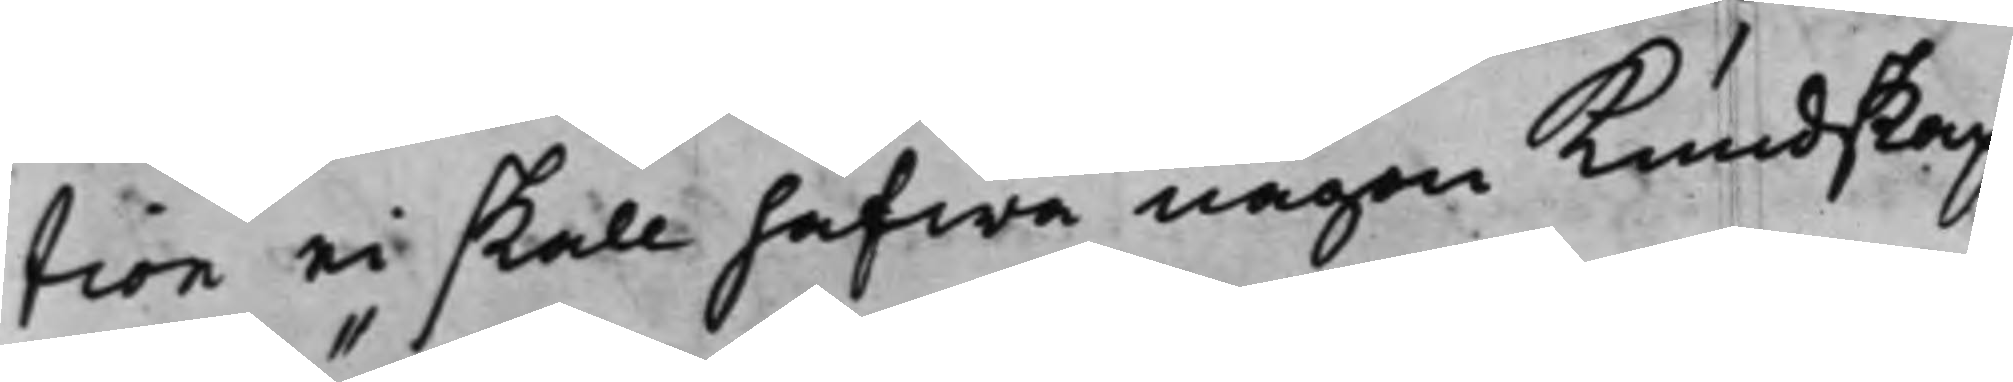tion ei skall hafwa någon Kundskap
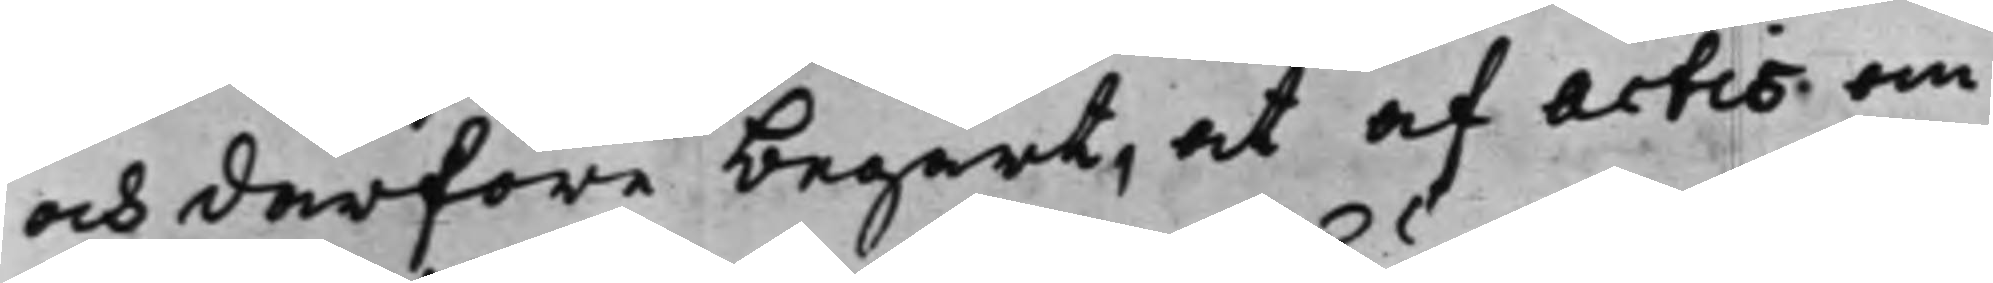och derföre begärt, at af actis om
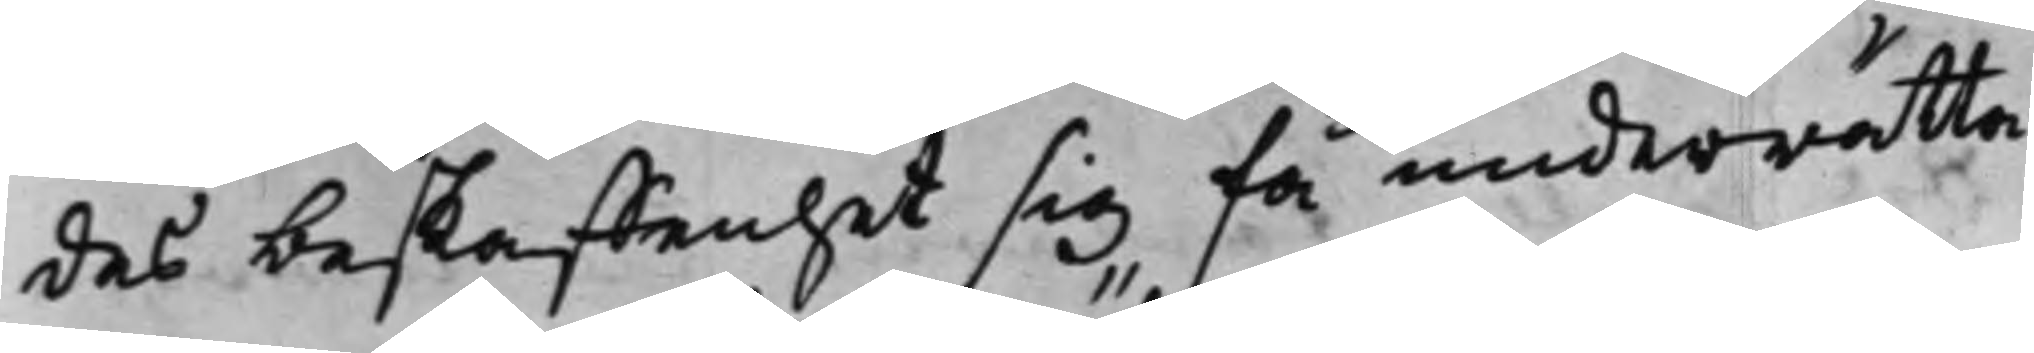des beskaffenhet sig få underrätta:
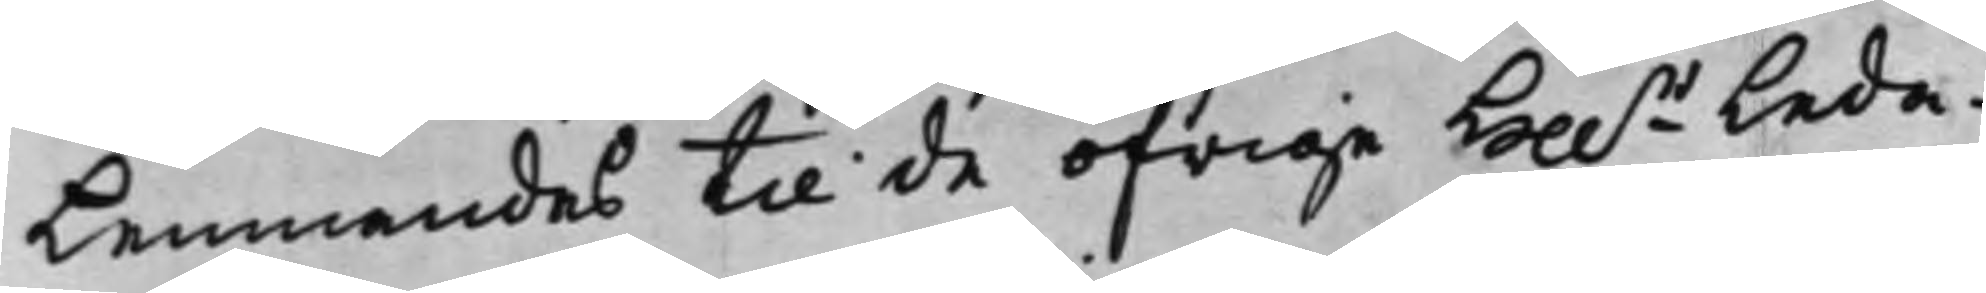Lemnandes till de öfrige Hh.r Leda¬
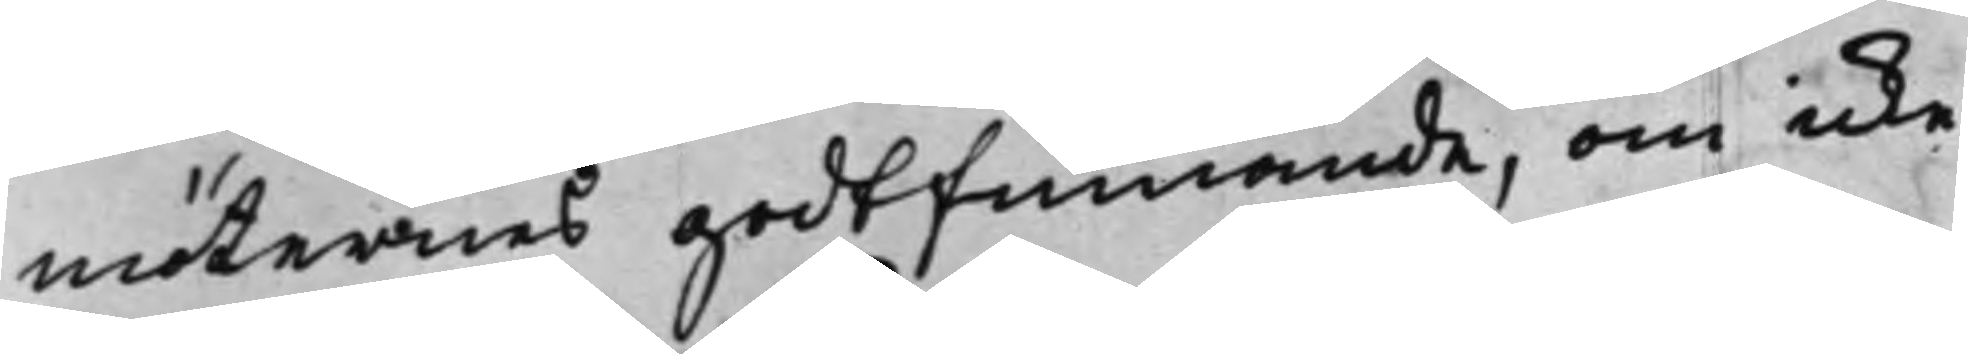möternes godtfinnande, om icke
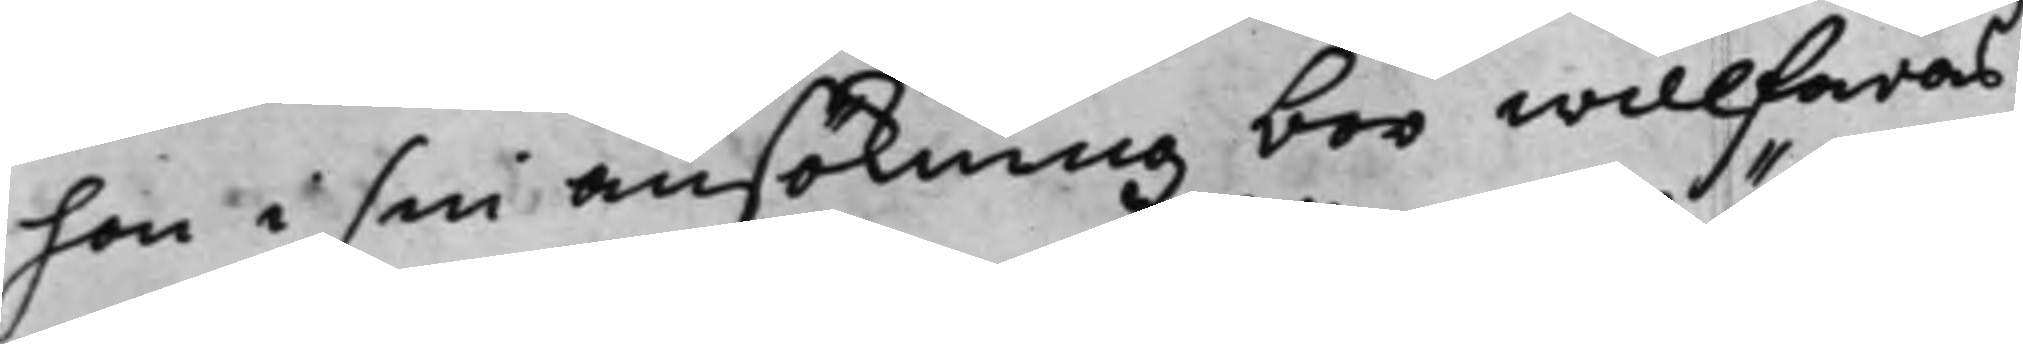hon i sin ansökning bör willfaras.
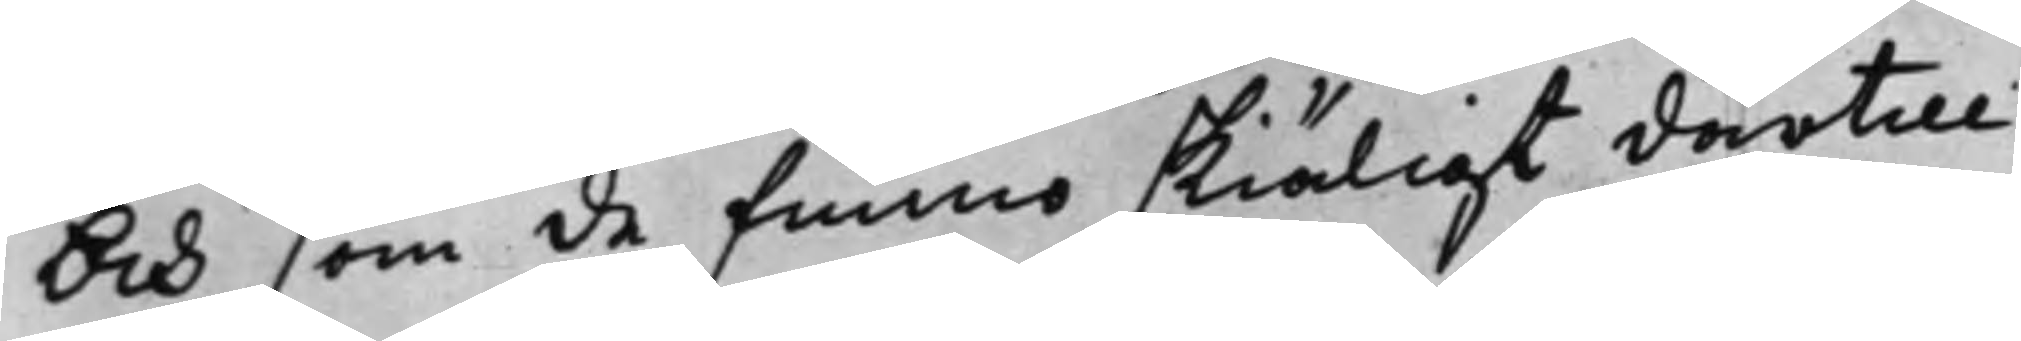Och som de funno skiäligt därtill
